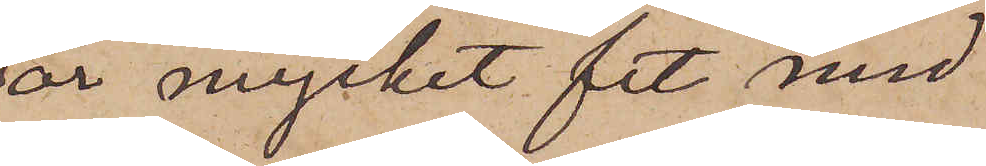är mycket fet med
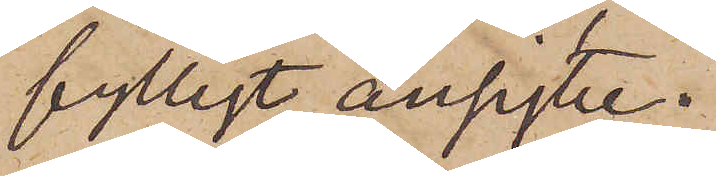fylligt ansigte.
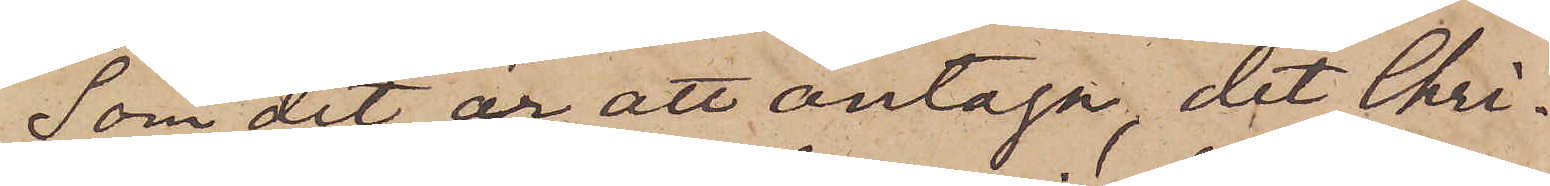Som det är att antaga, det Chri¬
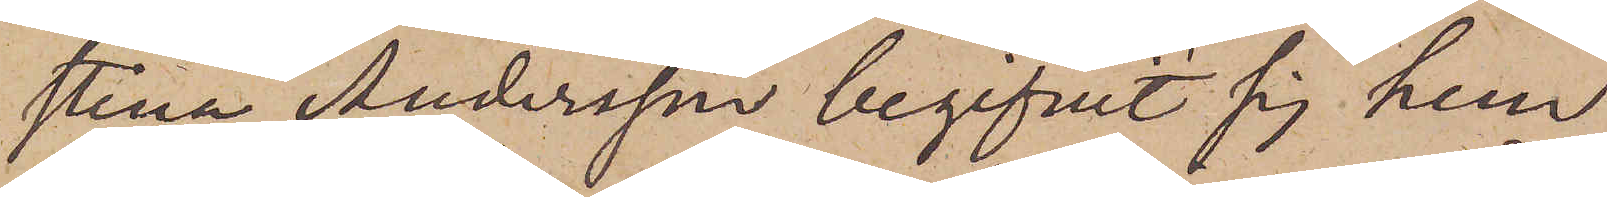stina Andersson begifvit sig hem
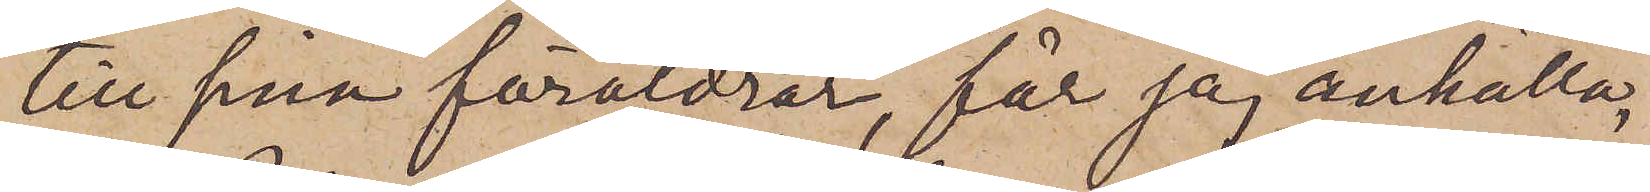till sina föräldrar, får jag anhålla,
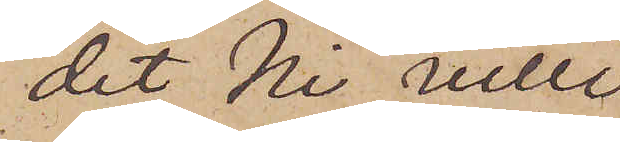det Ni ville
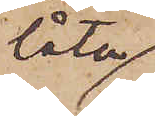låta
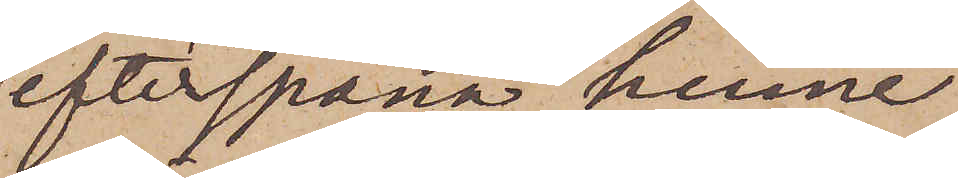efterspana henne
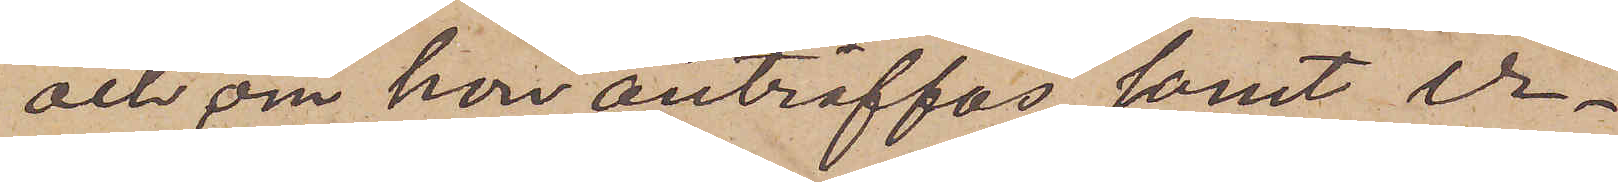och, om hon anträffas samt er¬
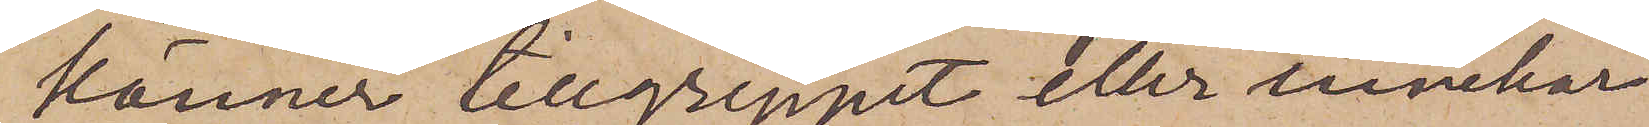känner tillgreppet eller innehar
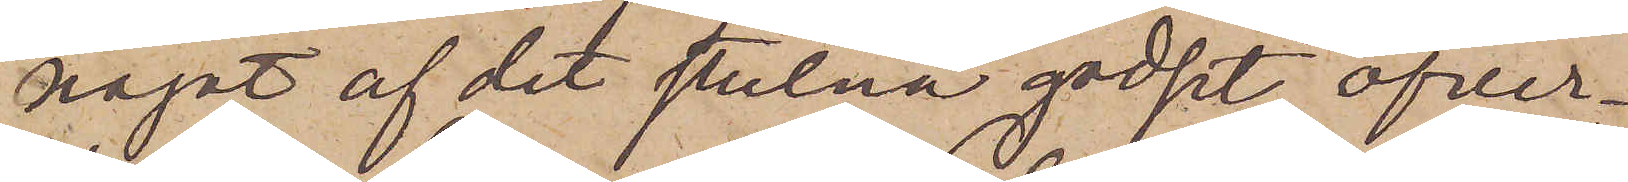något af det stulna godset, öfver¬
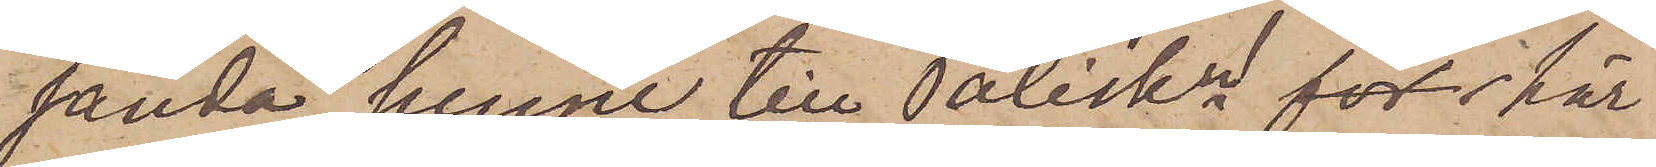sända henne till Poliskr  här
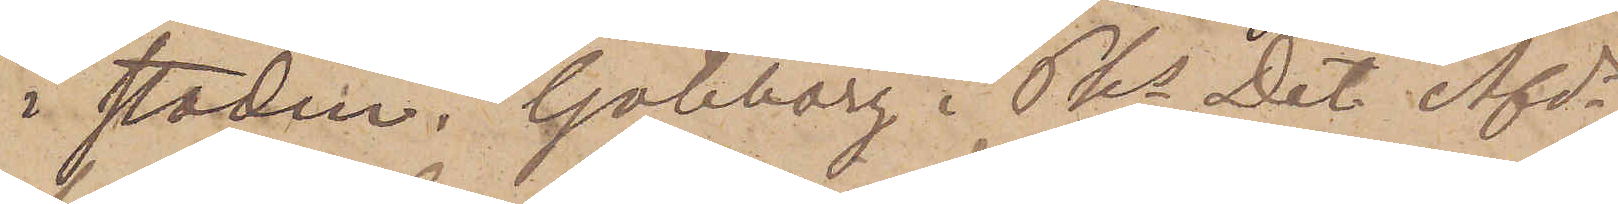i staden. Göteborg i Pks Det. Afds
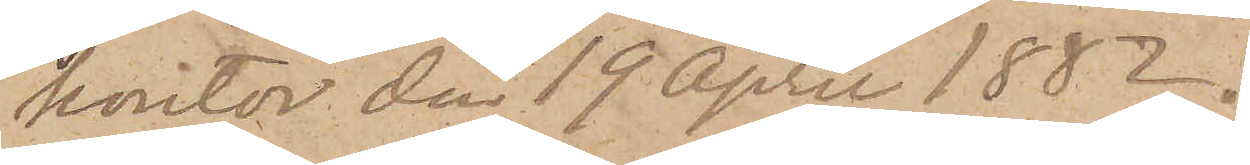kontor den 19 April 1882.
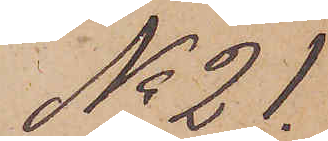No 21.
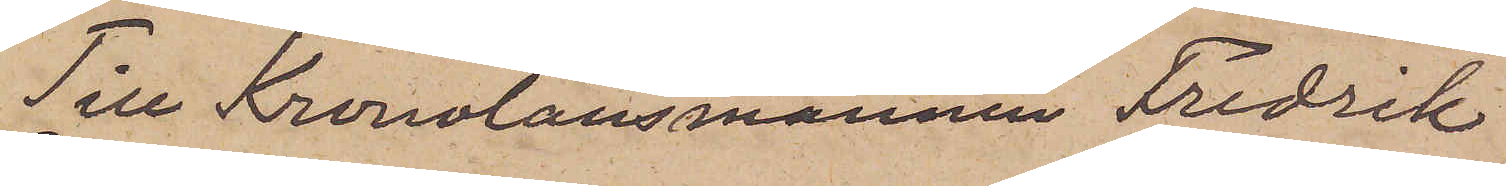Till Kronolänsmannen Fredrik
